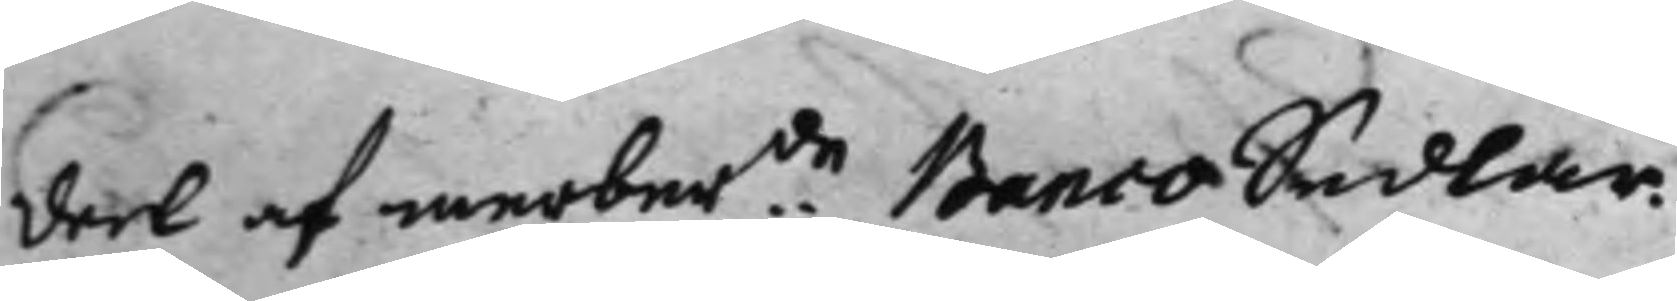deel af merber:de BancoSedlar.
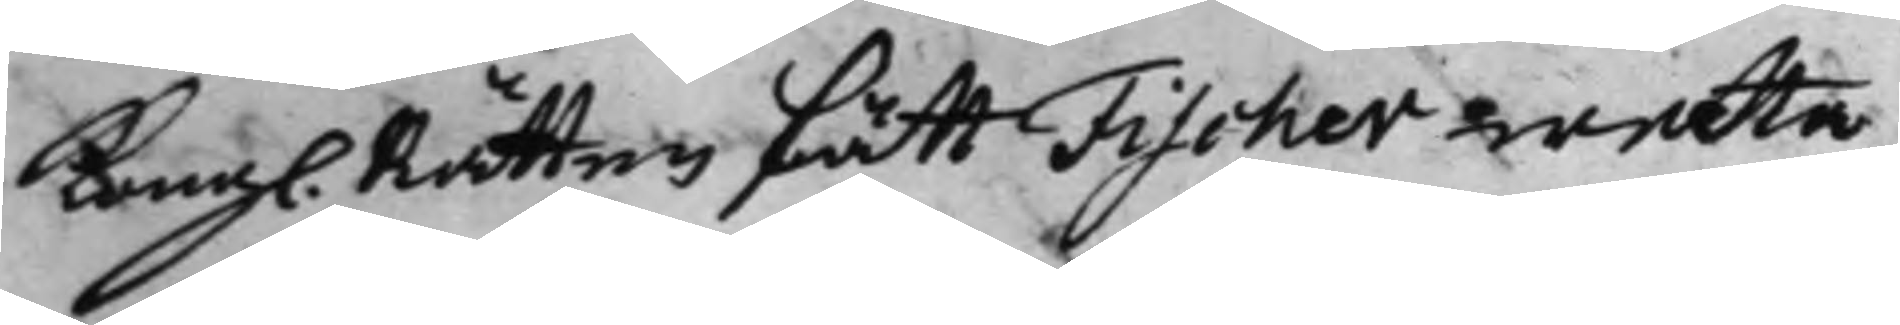Kongl. Rätten fått Fischer weeta,
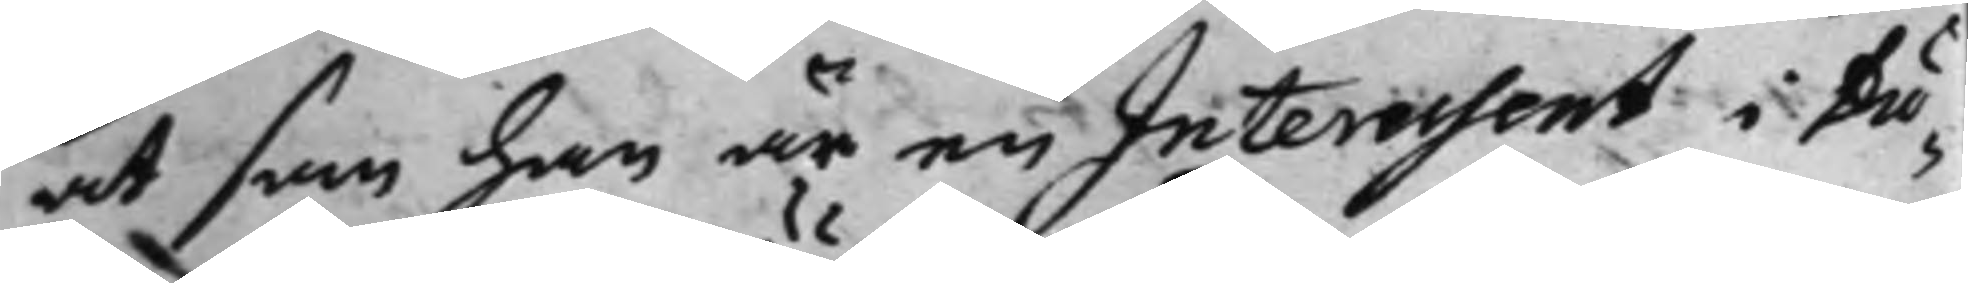at som han är en Interessent i Du¬
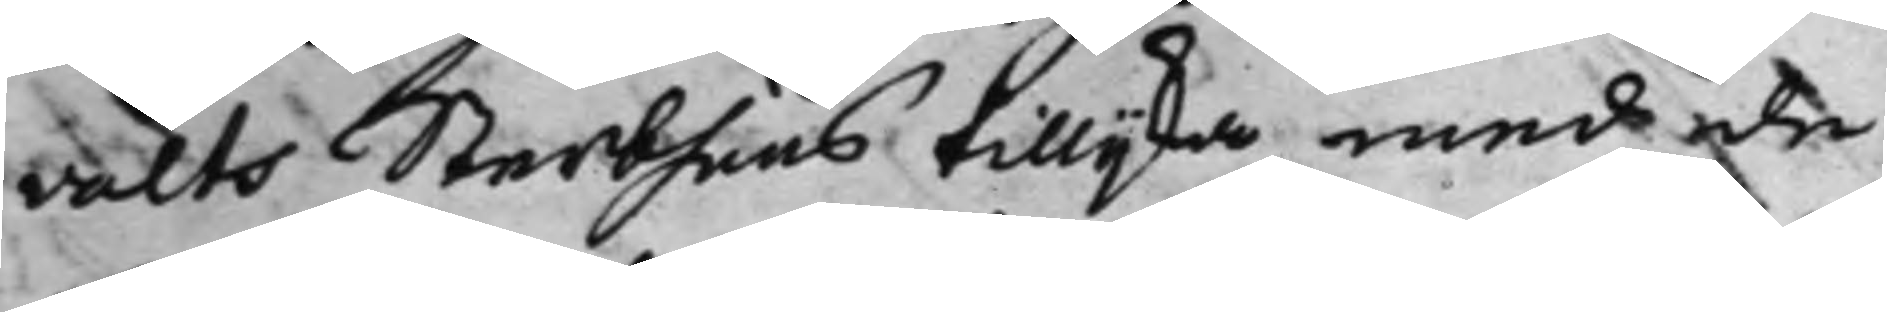valts Sterbhuus tillijka med de
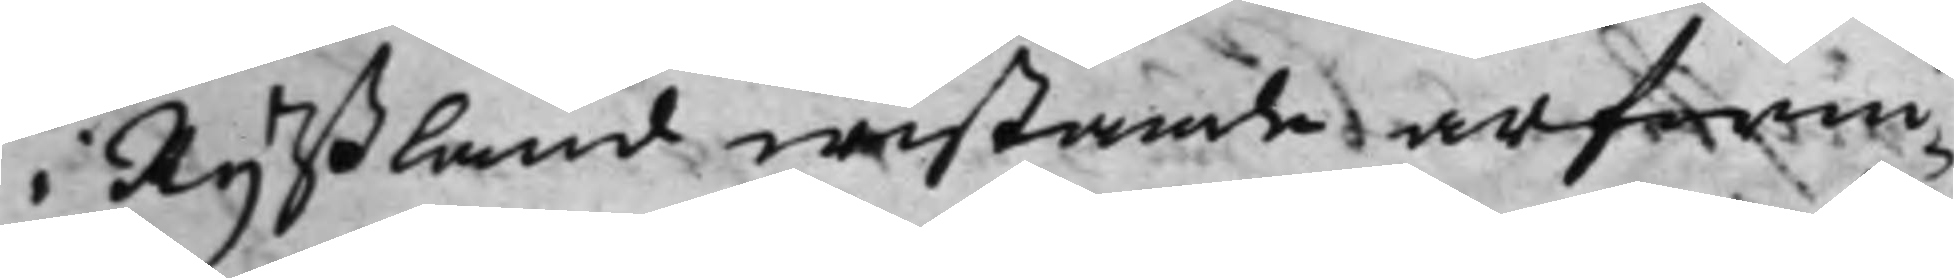i Ryßland wistande arfwin¬
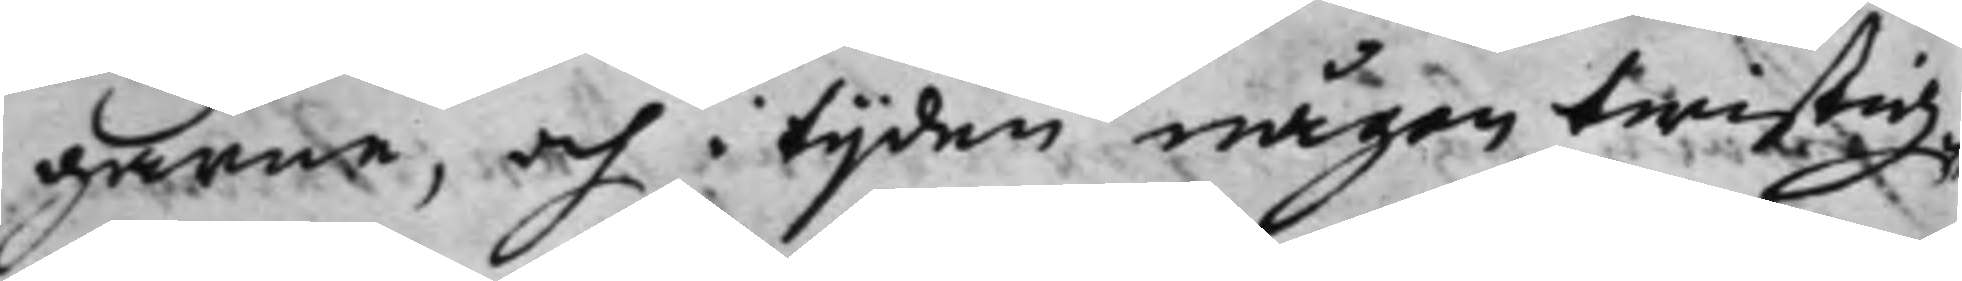garne, och i tijden någon twistig¬
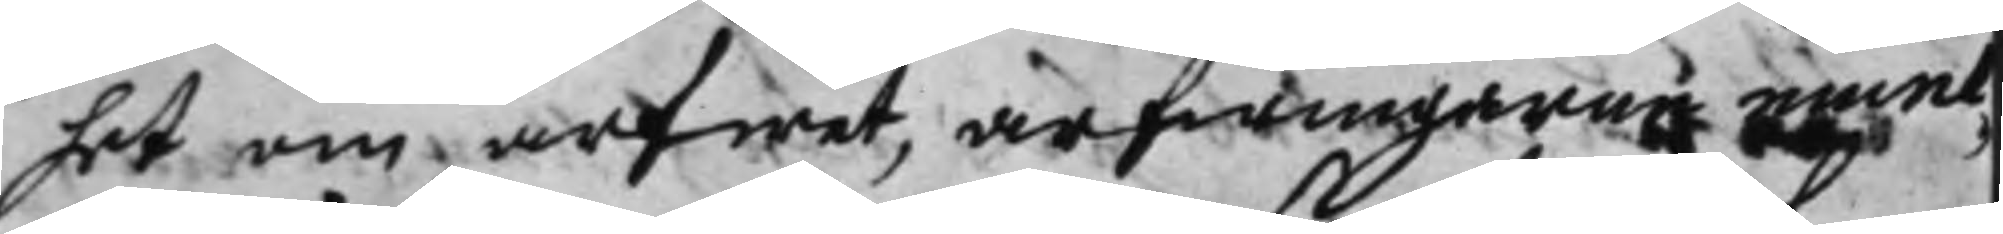het om arfwet, arfwingarne emel¬
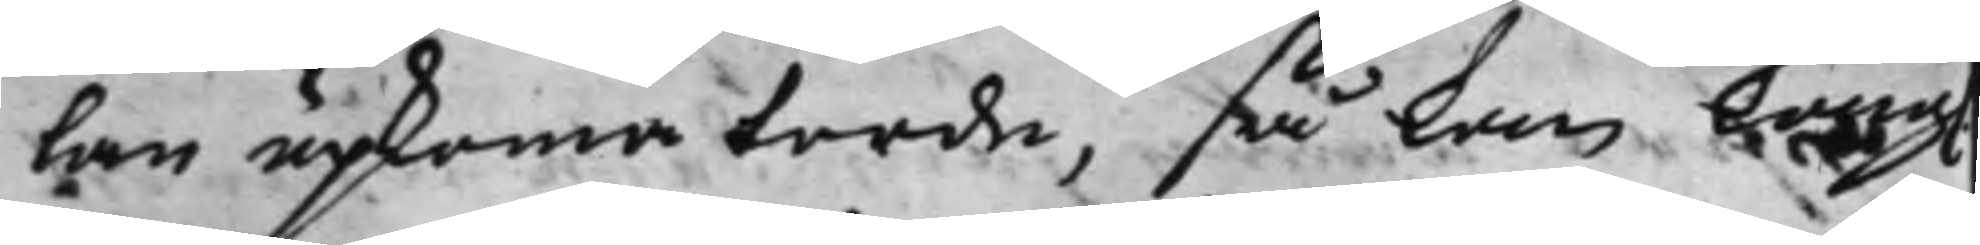lan upkoma torde, så kan Kongl.
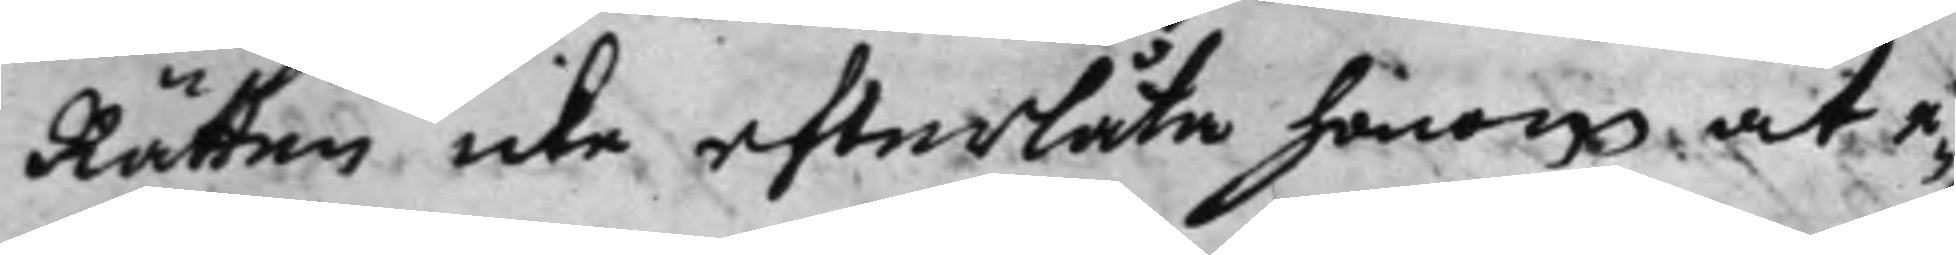Rätten icke efterlåta honom at e¬
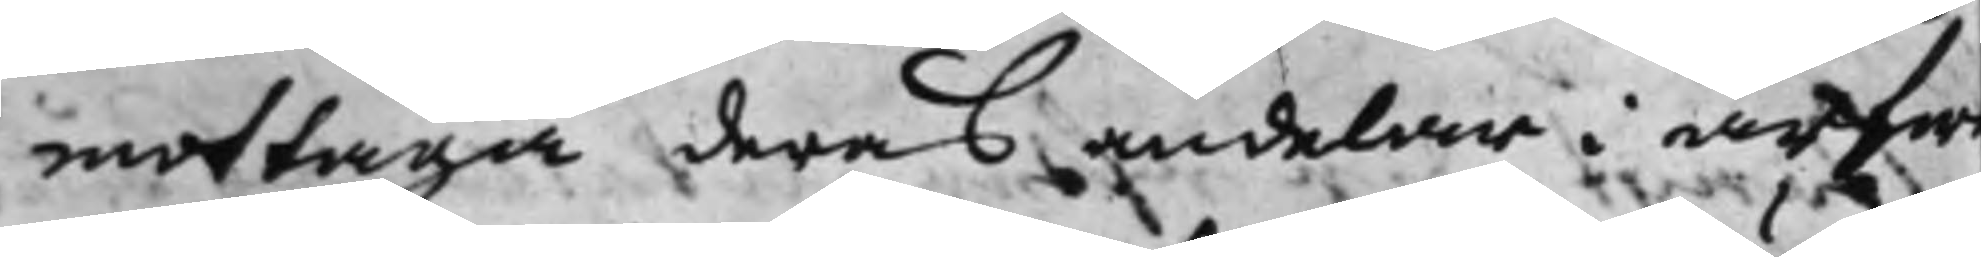mottaga deras andelar i arfw
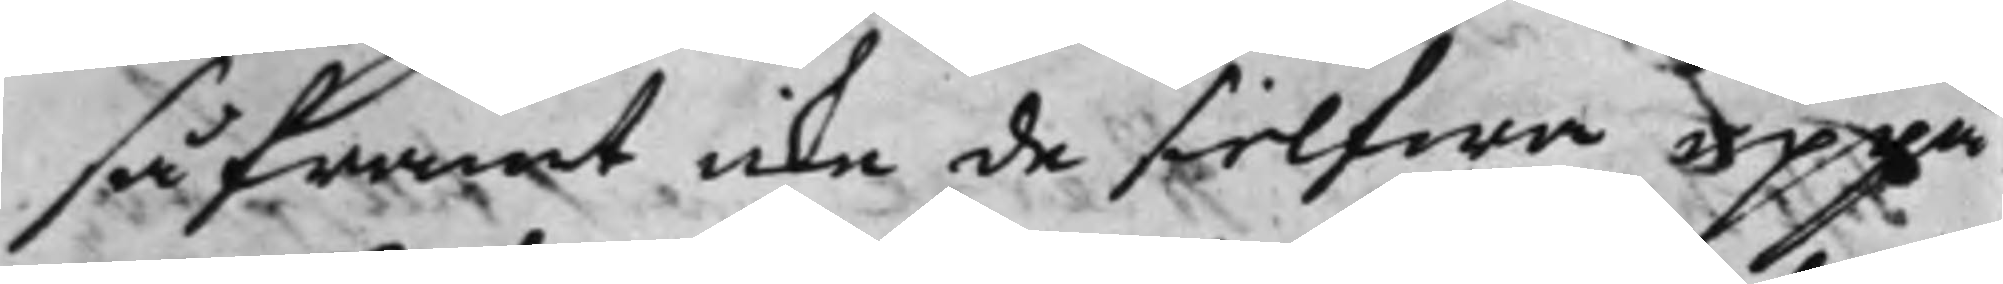såframt icke de sielfwa uppå
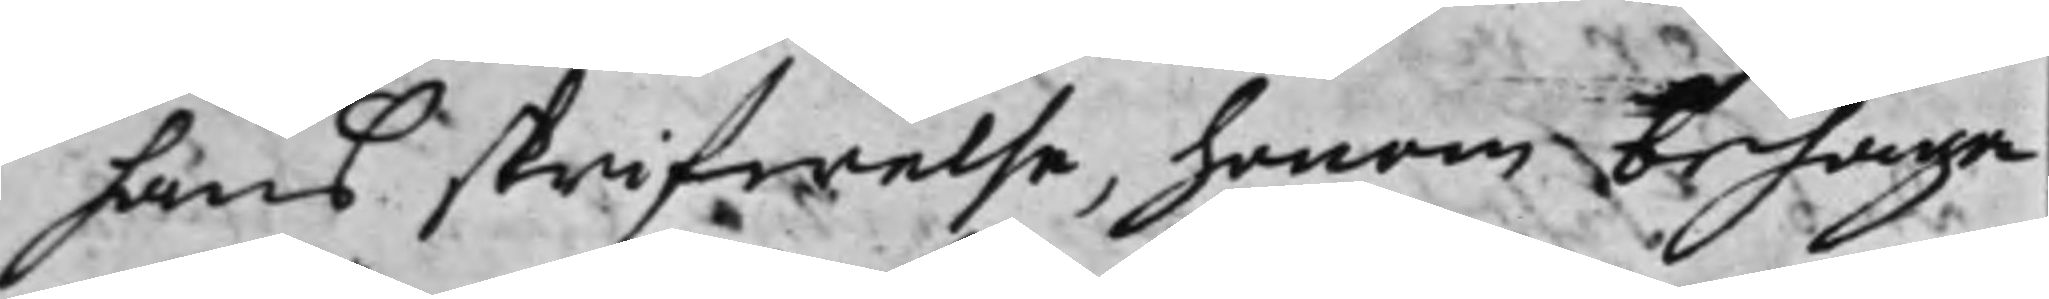hans skrifwelse, honom behaga
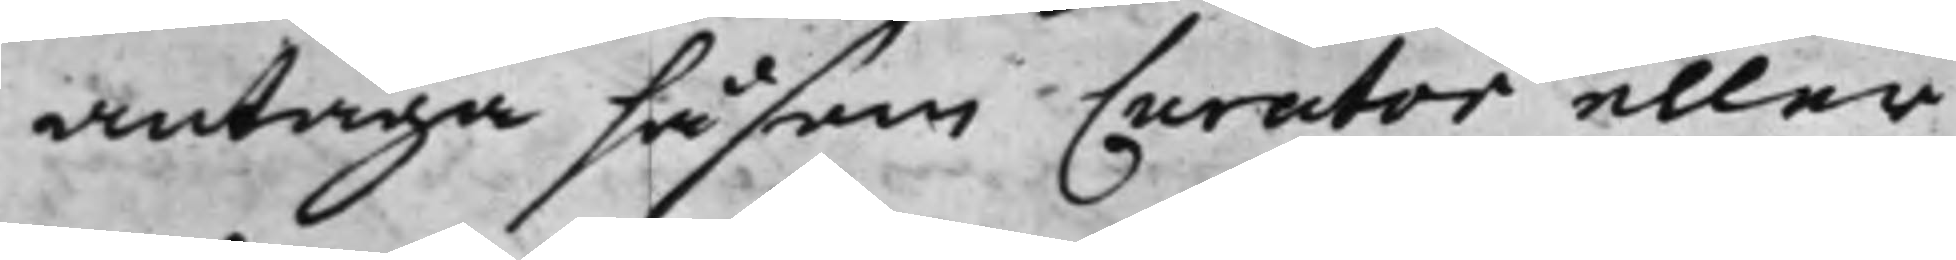antaga såsom Curator eller
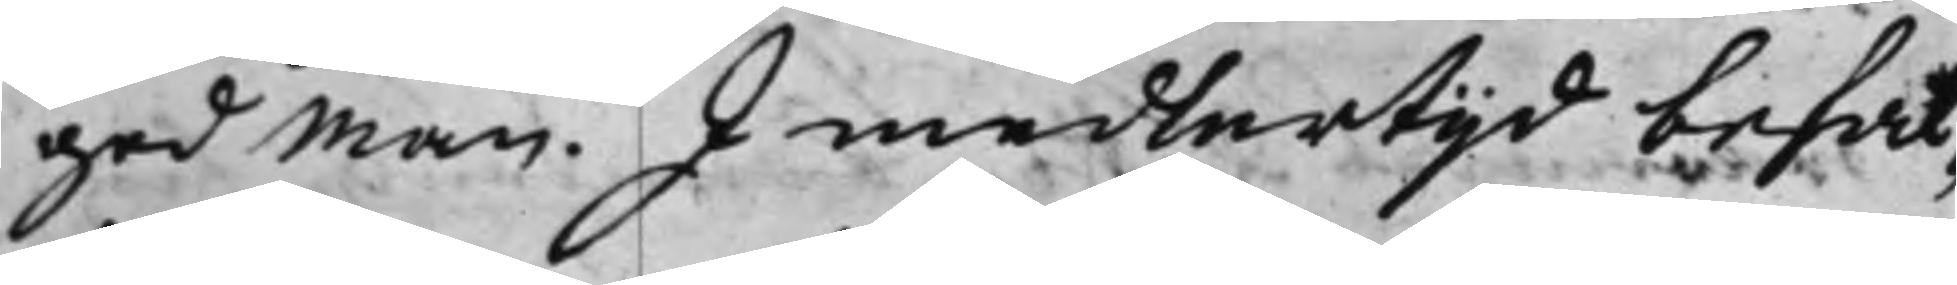god man. I medlertijd befal¬
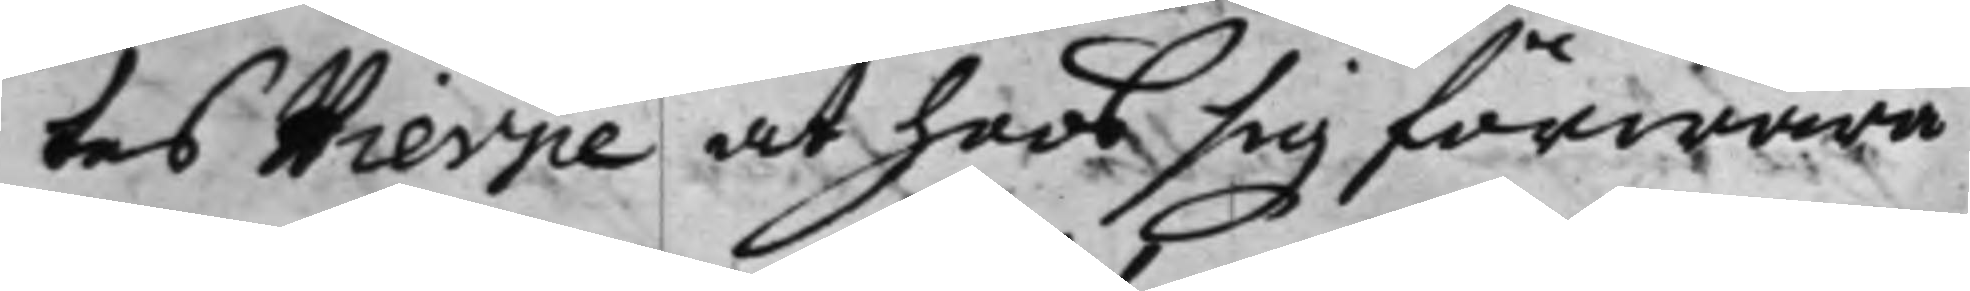tes Hierpe at hoos sig förwara
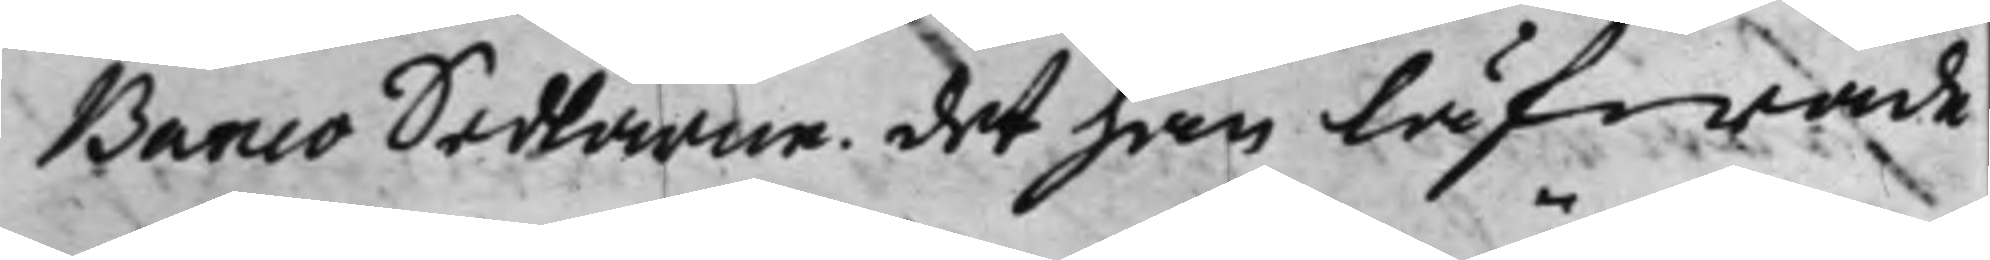Banco Sedlarne. det han låfwade
